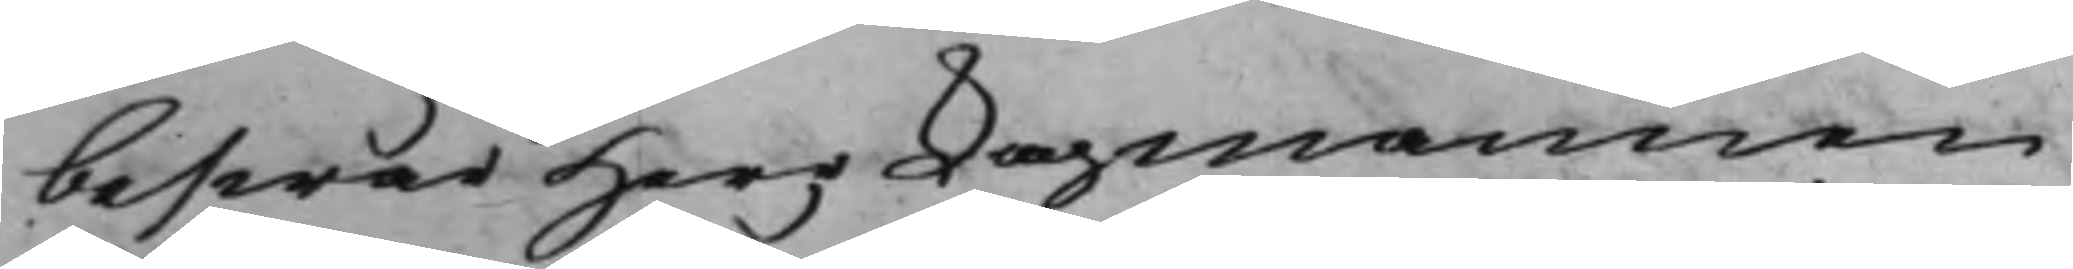beswär Herr Lagmannen
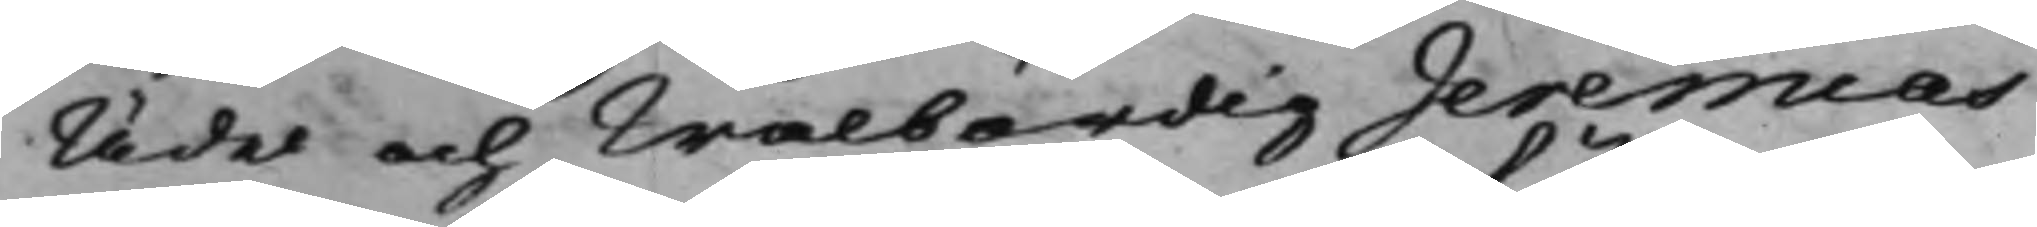Ädel och Wälbördig Jeremias
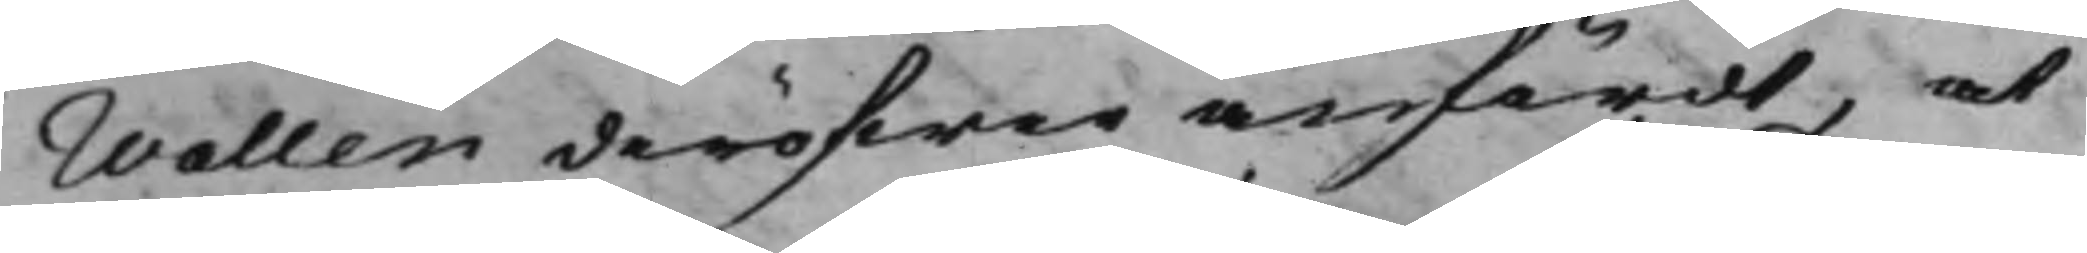Wallen deröfwer anfördt, at
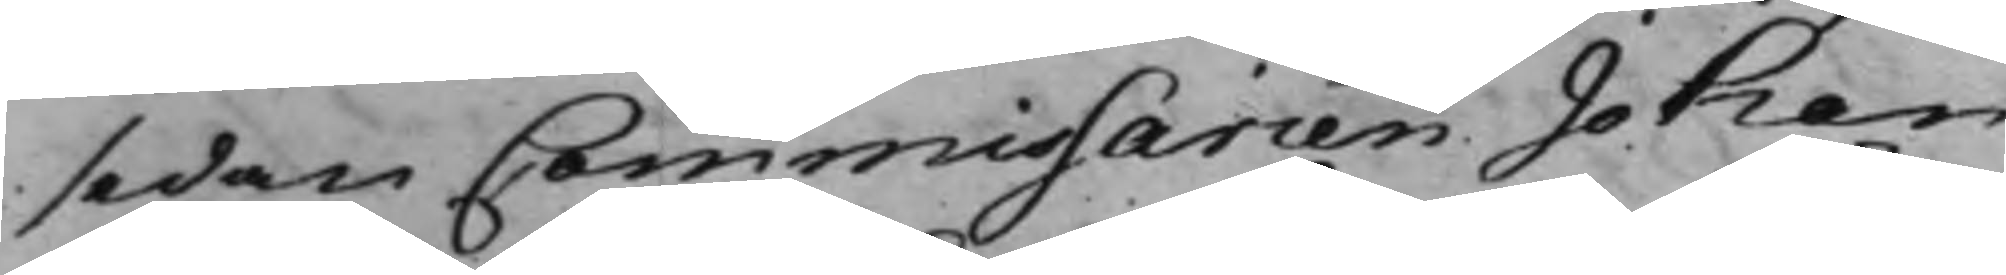sedan Commissarien Johan
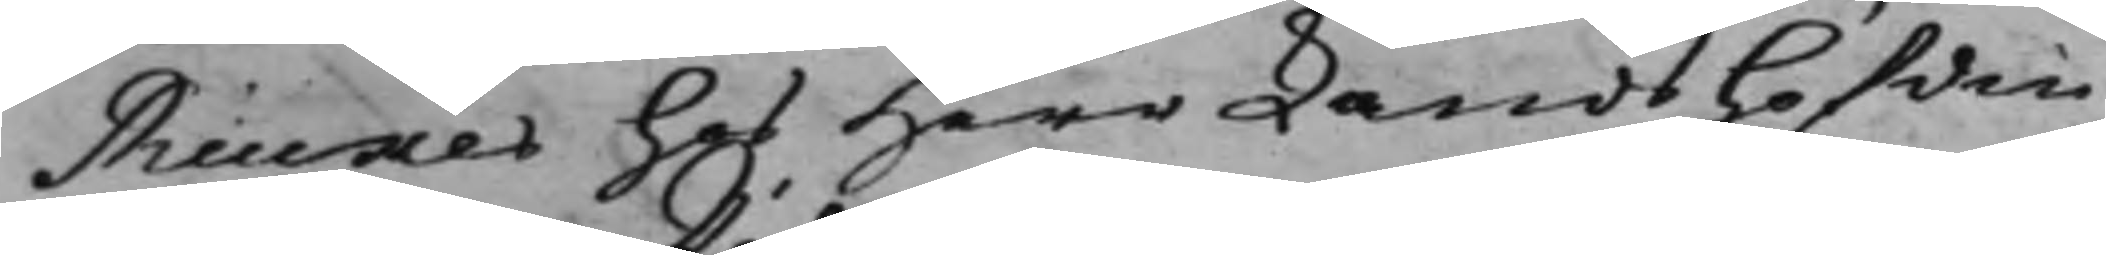Rücker hos Herr Landshöfdin¬
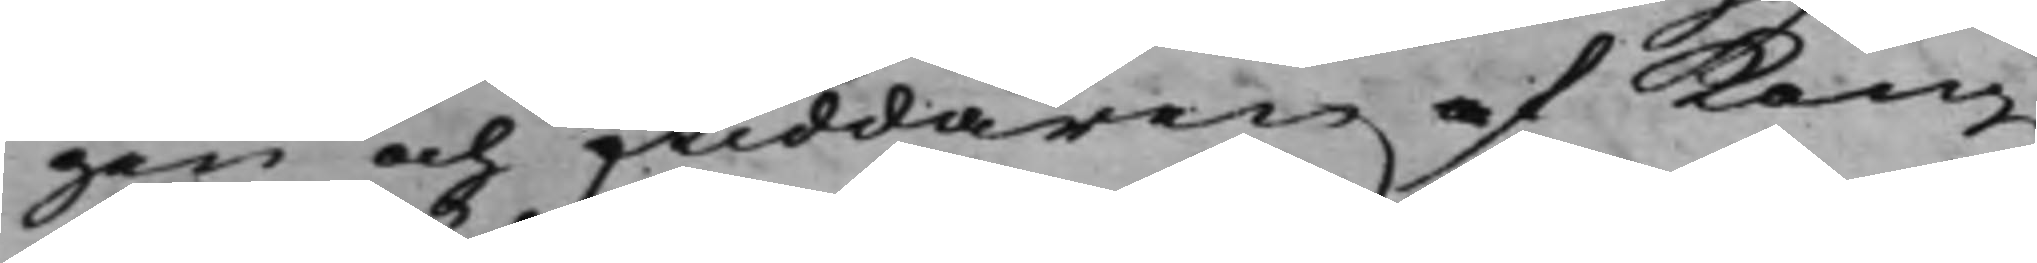gen och Riddaren af Kong.
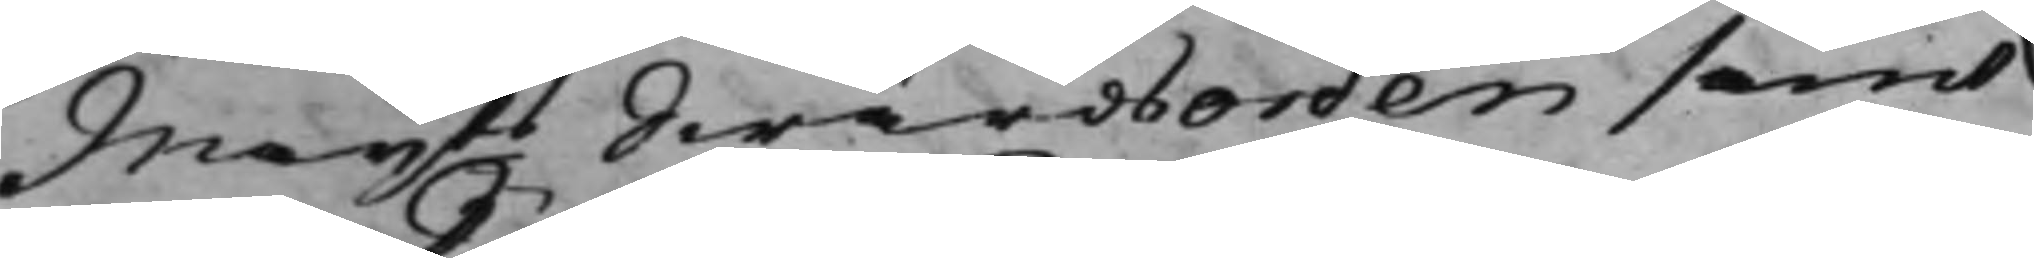Maijts Swärdsorden samt
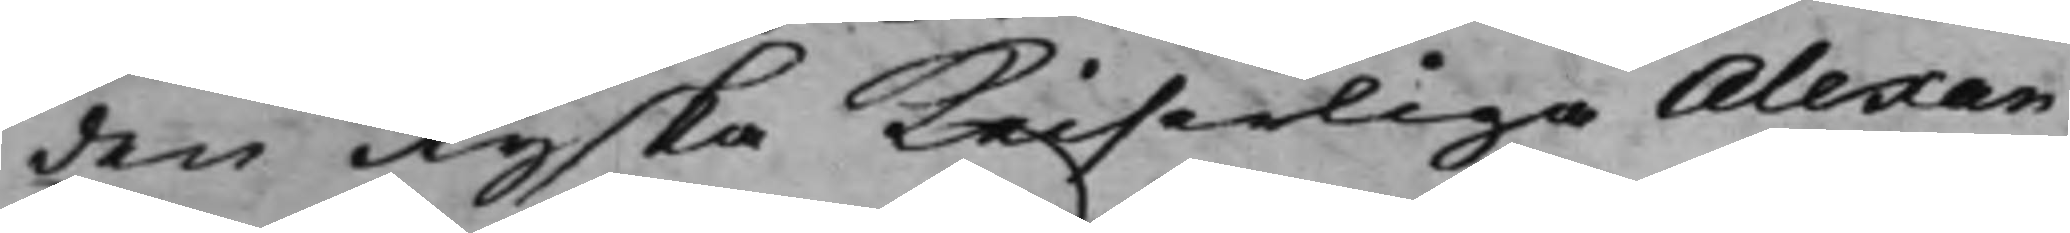den Ryska Keiserliga Alexan¬
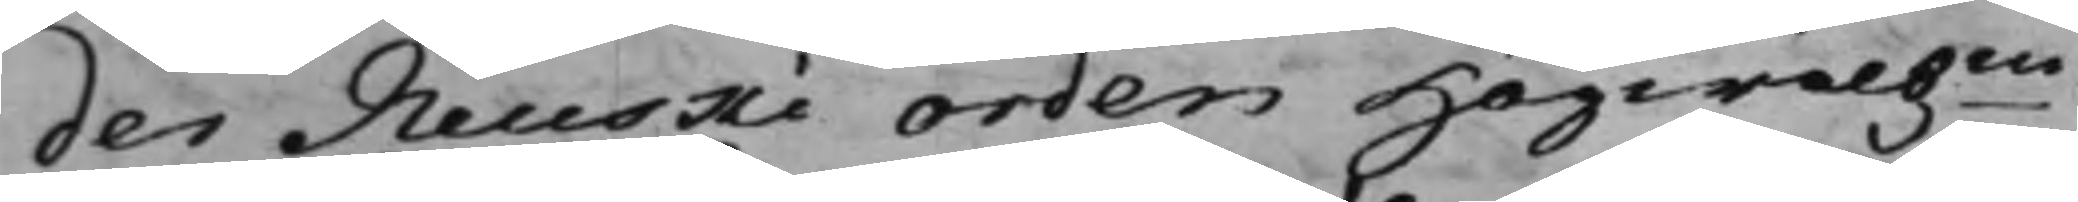der Neuski orden Högwälbne
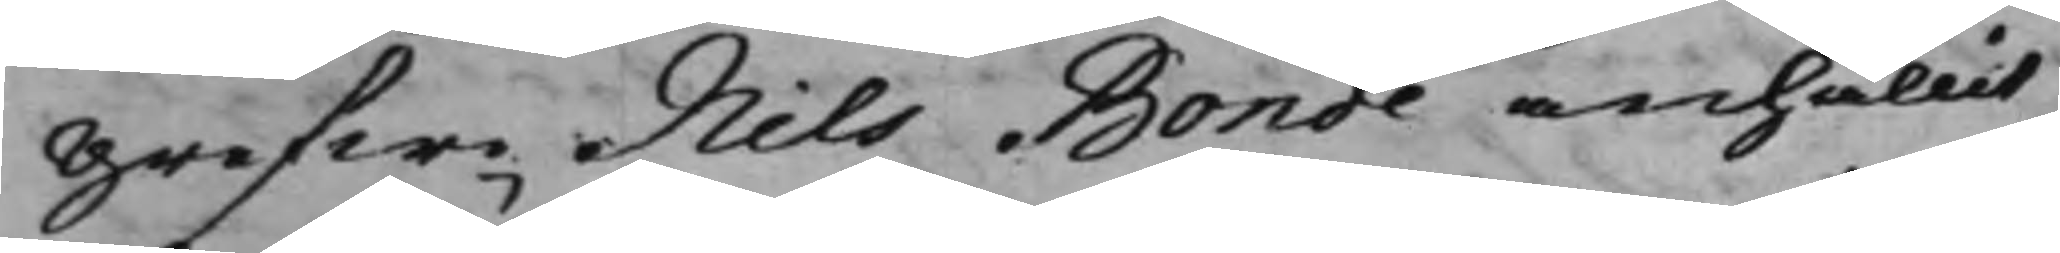Grefwe Nils Bonde anhållit
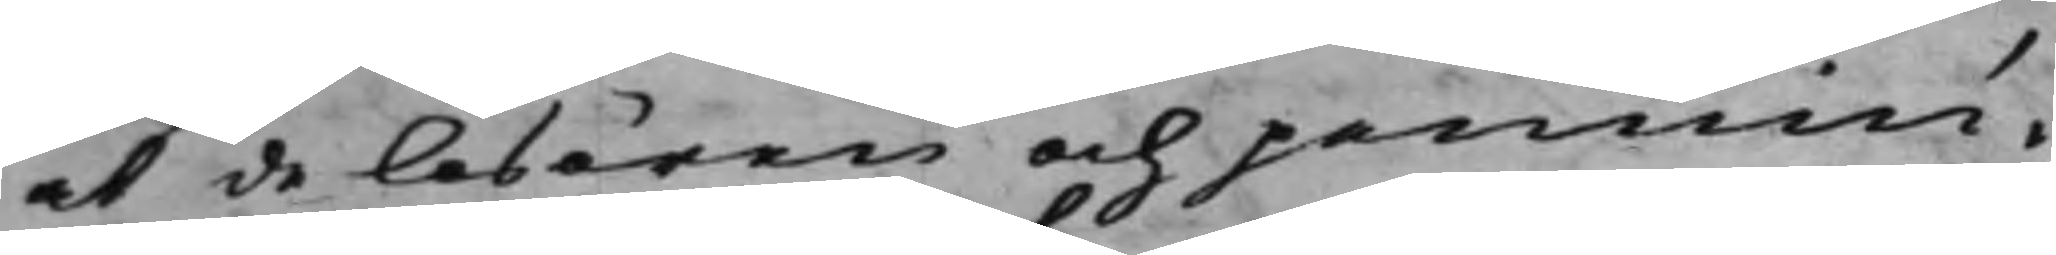at de lösören och pennin¬
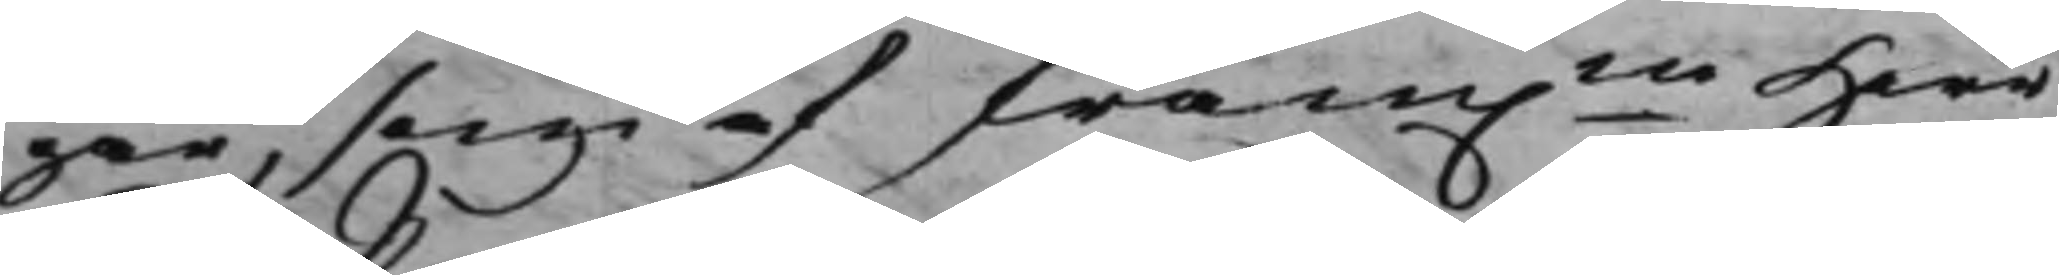gar, som af fram.ne Herr
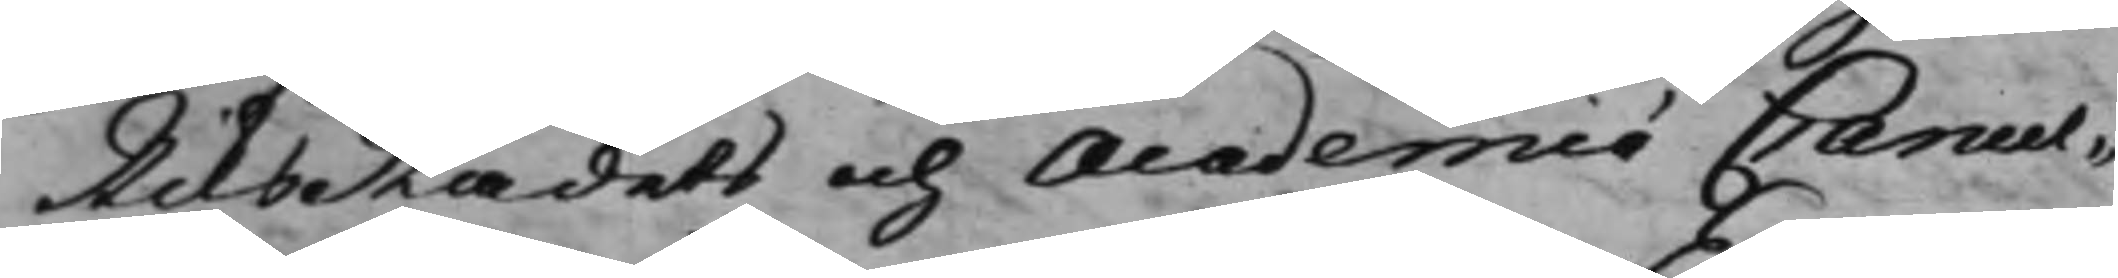RiksRådets och Academié Cancel¬
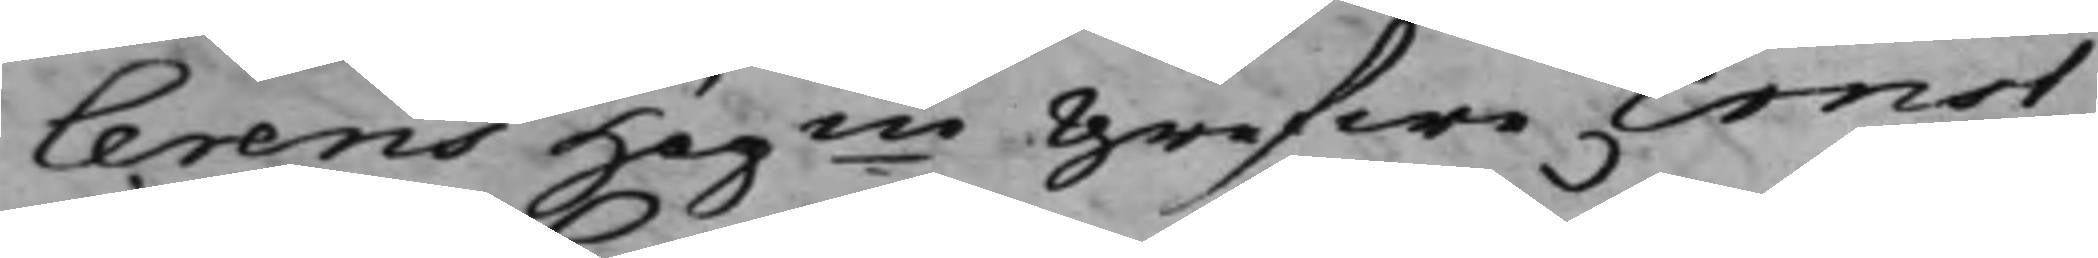lerens Högne Grefwe Ernst
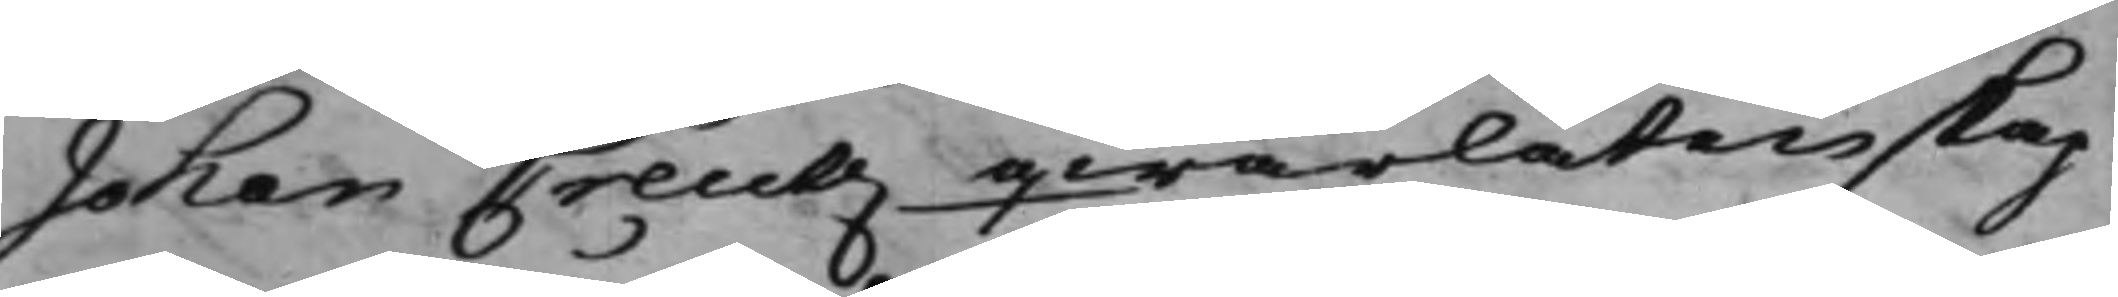Johan Creutz qwarlåtenskap
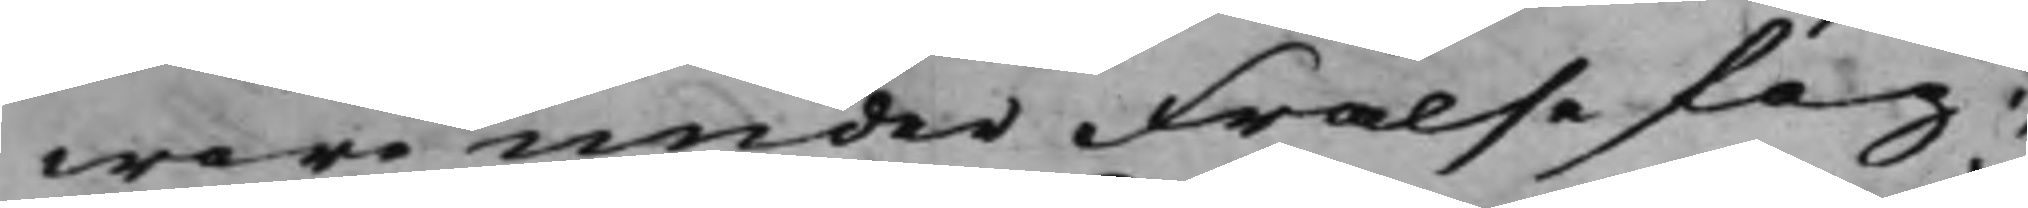woro under Frälsefog¬
